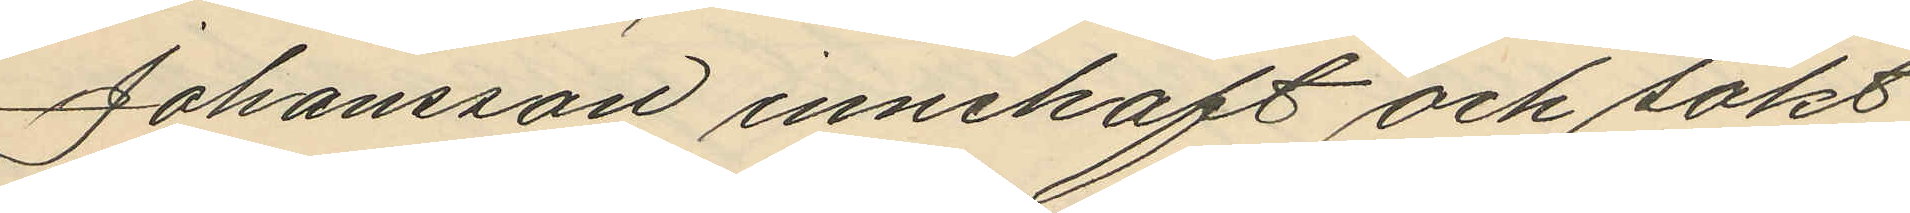Johansson innehaft och sökt
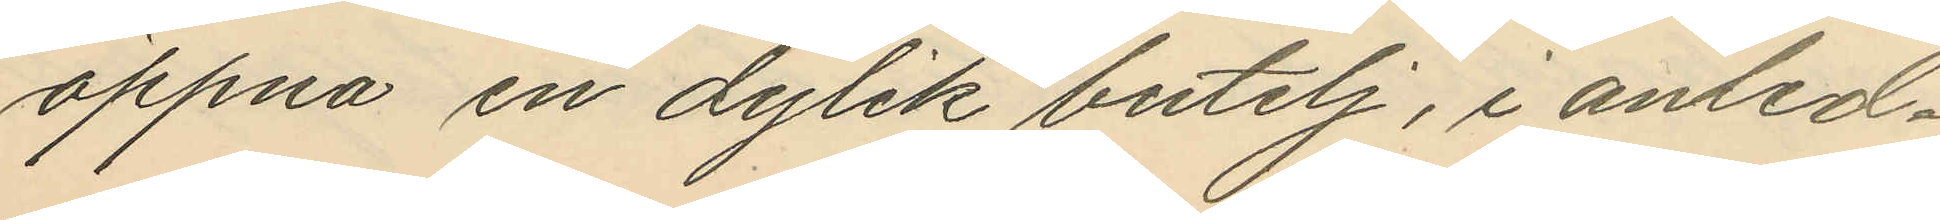öppna en dylik butelj, i anled¬
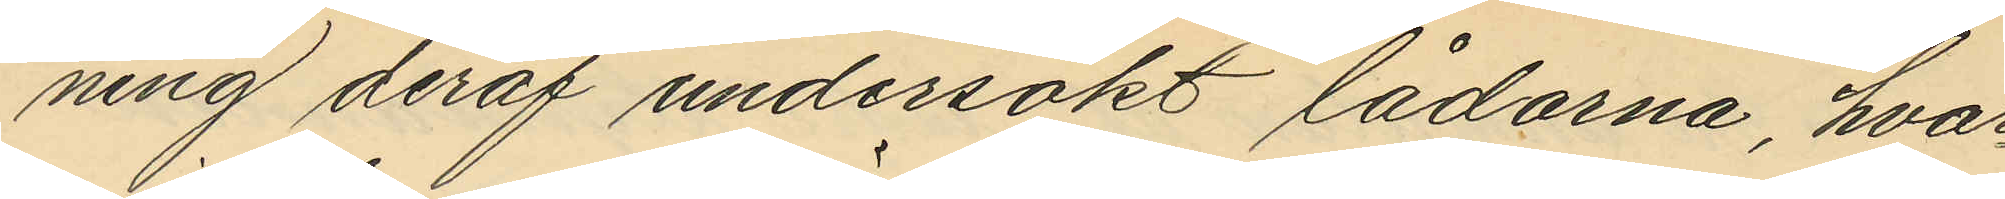ning deraf undersökt lådorna, hvar¬
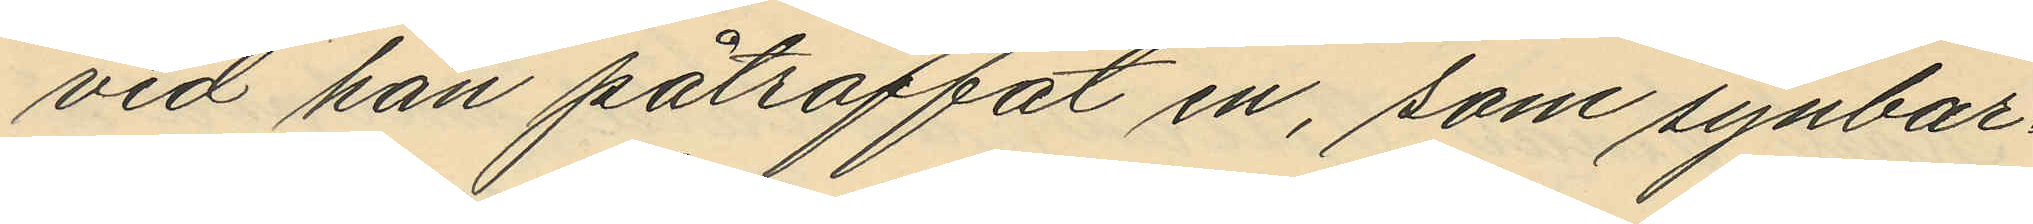vid han påträffat en, som synbar¬
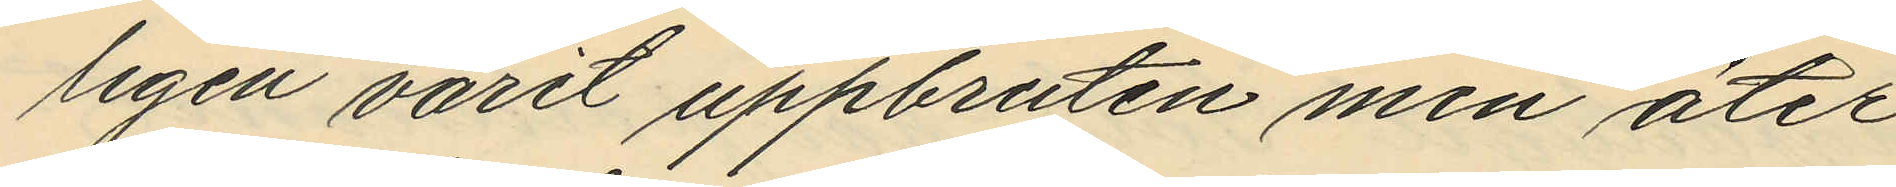ligen varit uppbruten men åter
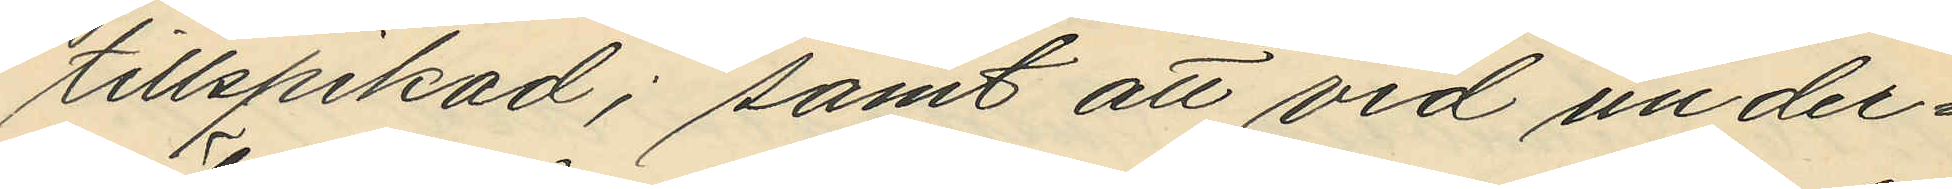tillspikad; samt att vid under¬
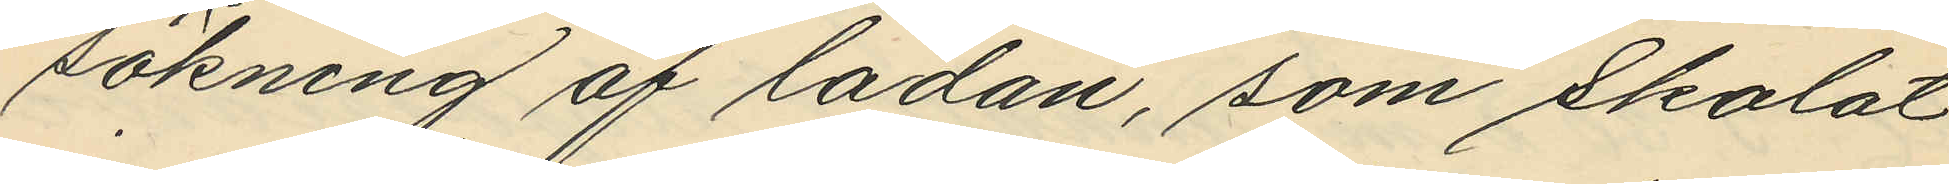sökning af lådan, som skolat
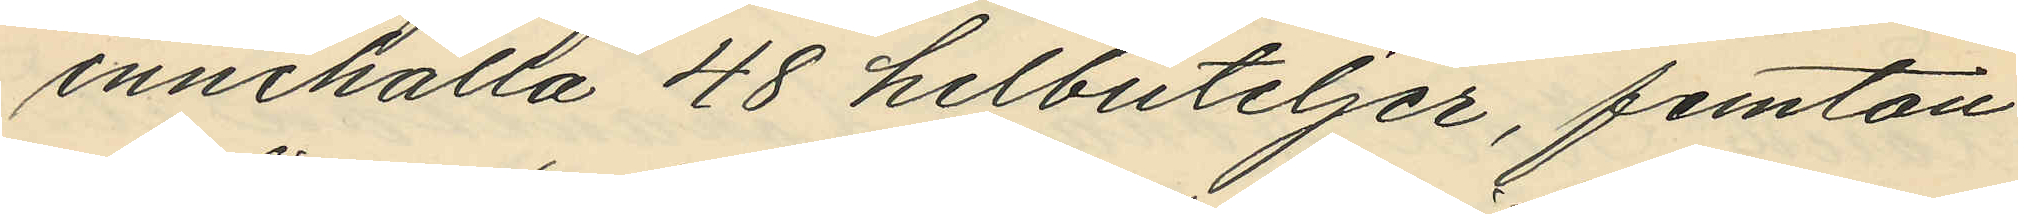innehålla 48 helbuteljer, femton
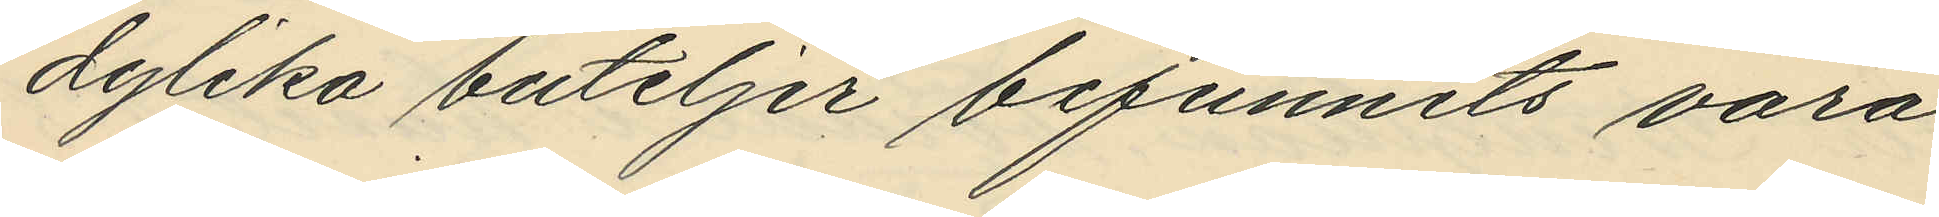dylika buteljer befunnits vara
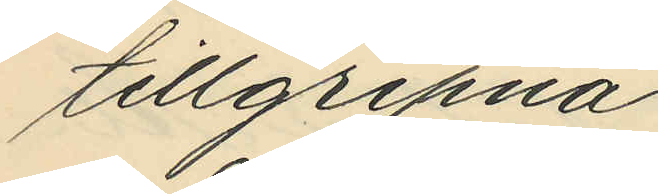tillgripna.
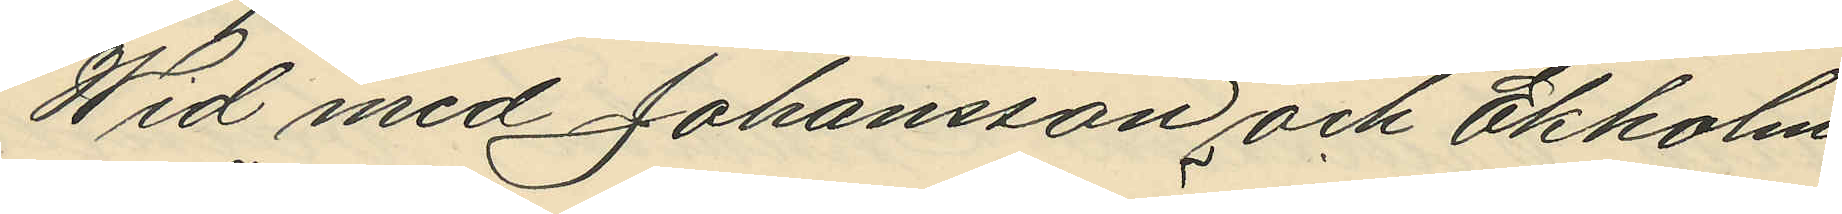Wid med Johansson och Ekholm
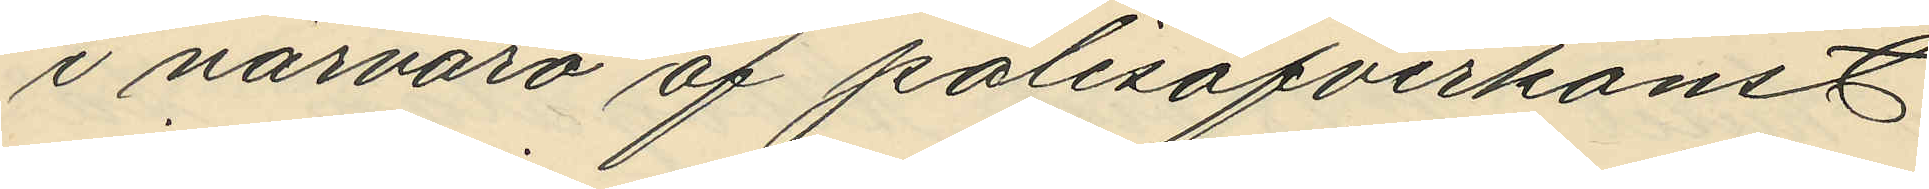i närvaro af polisöfverkonst.
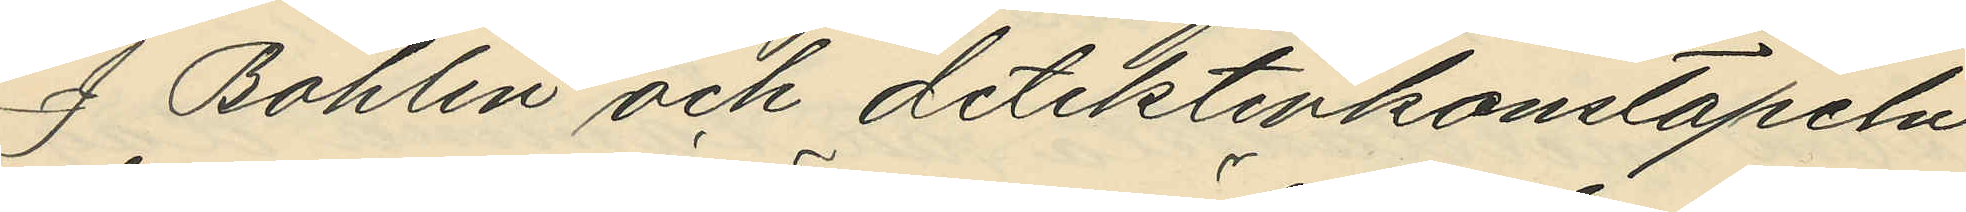J. Bohlin och detektivkonstapeln
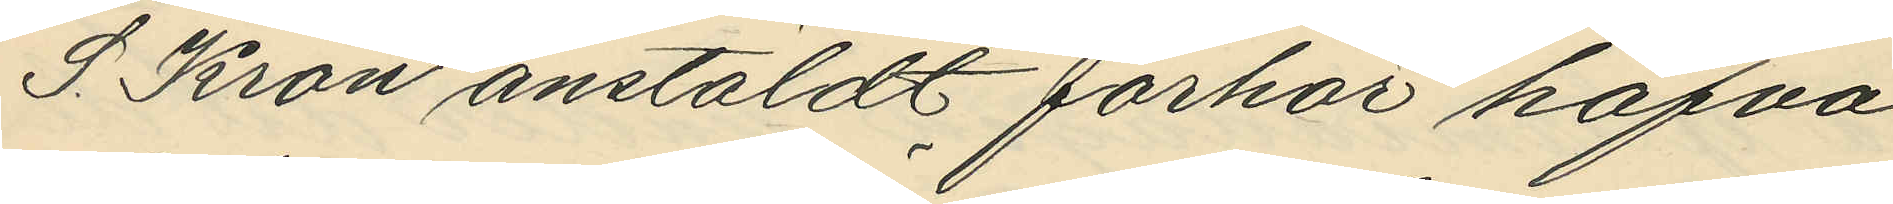S. Kron anstäldt förhör hafva
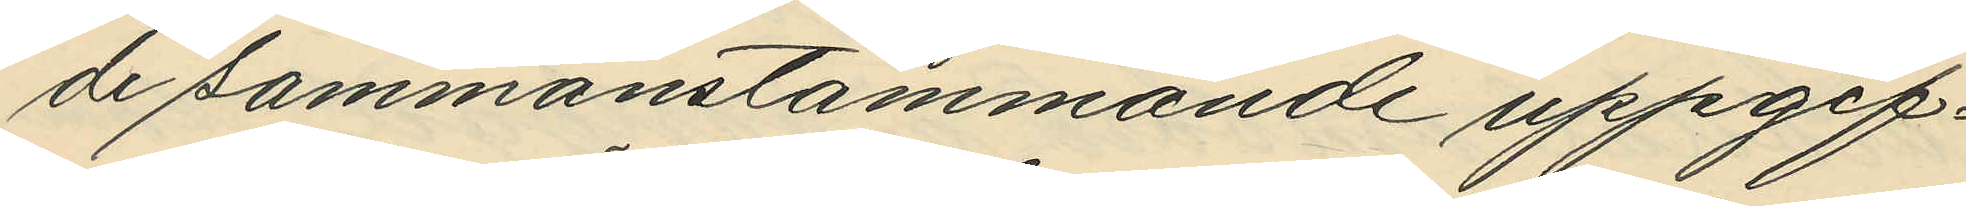de sammanstämmande uppgif¬
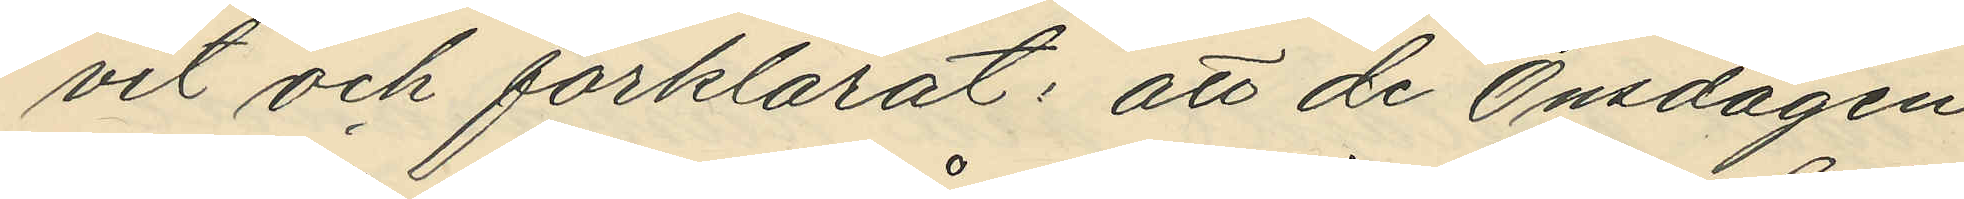vit och förklarat: att de Onsdagen
